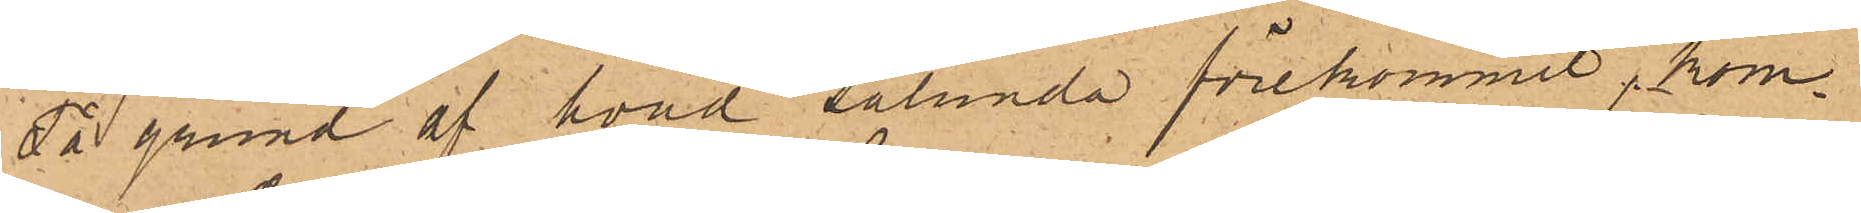På grund af hvad sålunda förekommit, kom¬
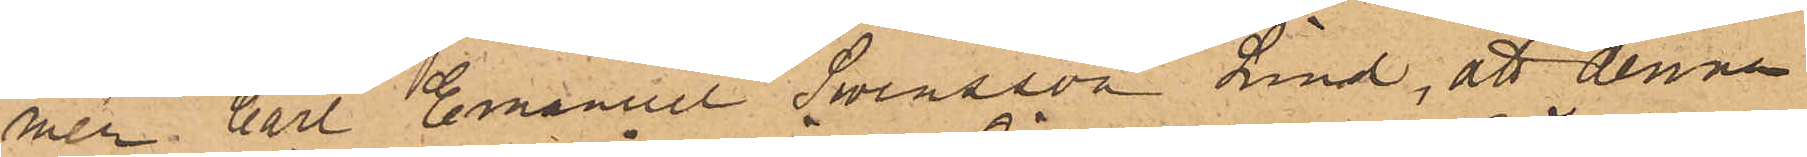mer Carl Emanuel Swensson Lind, att denna
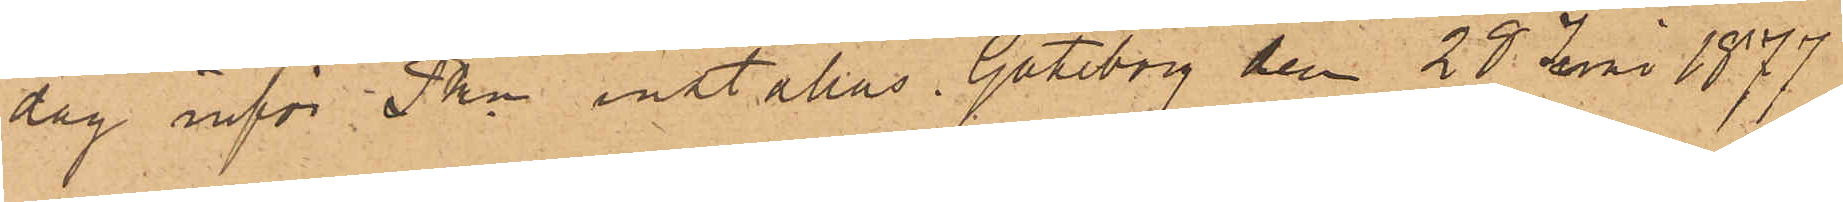dag inför Pkn inställas. Göteborg den 28 Juni 1877
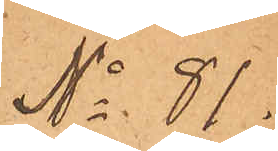No 91.
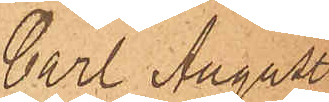Carl August
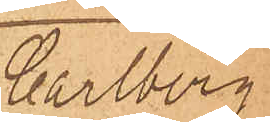Carlberg,
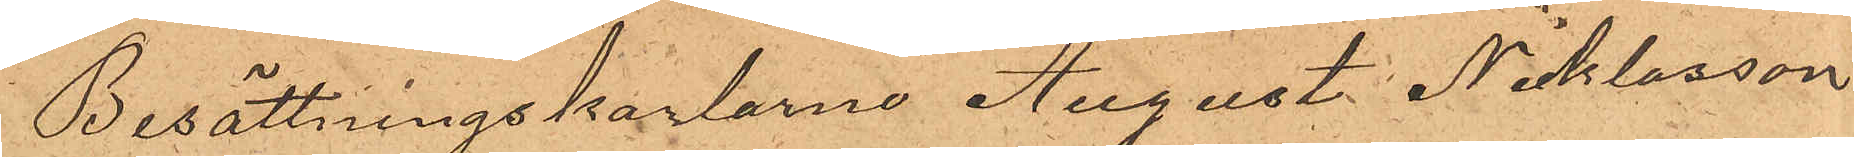Besättningskarlarne August Nicklasson
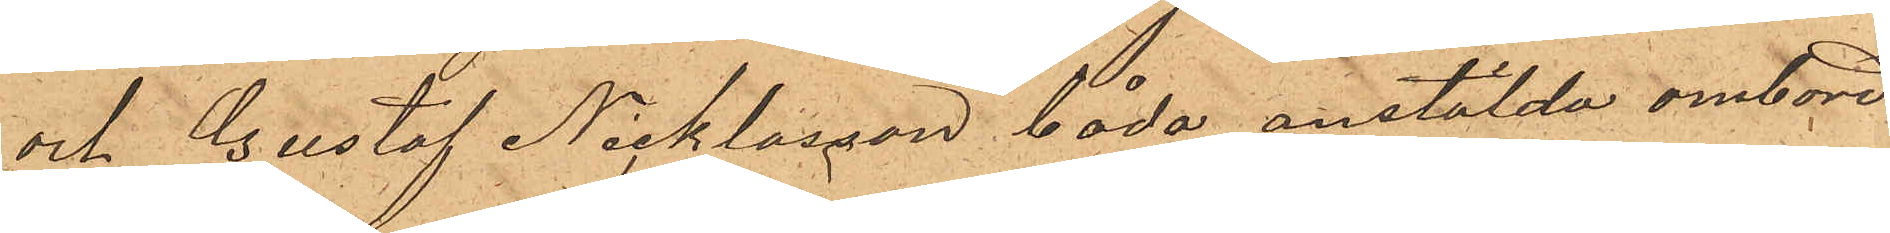och Gustaf Nicklasson, båda anstälda ombord
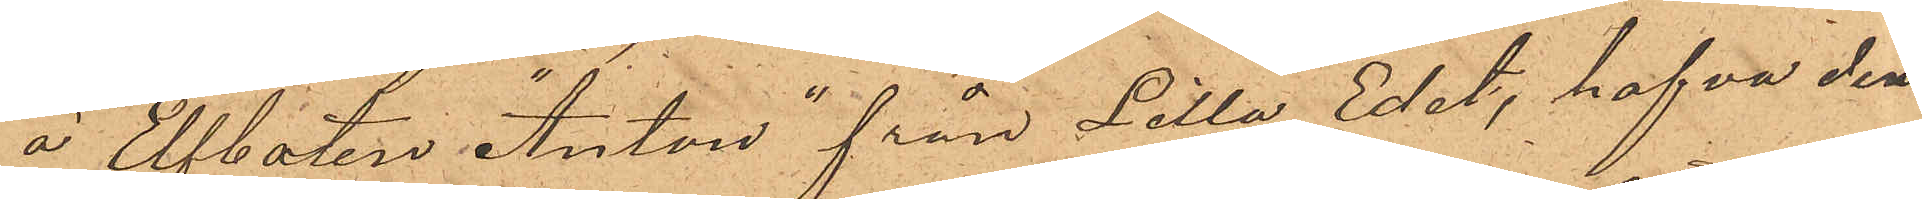å Elfbåten "Anton" från Lilla Edet, hafva den
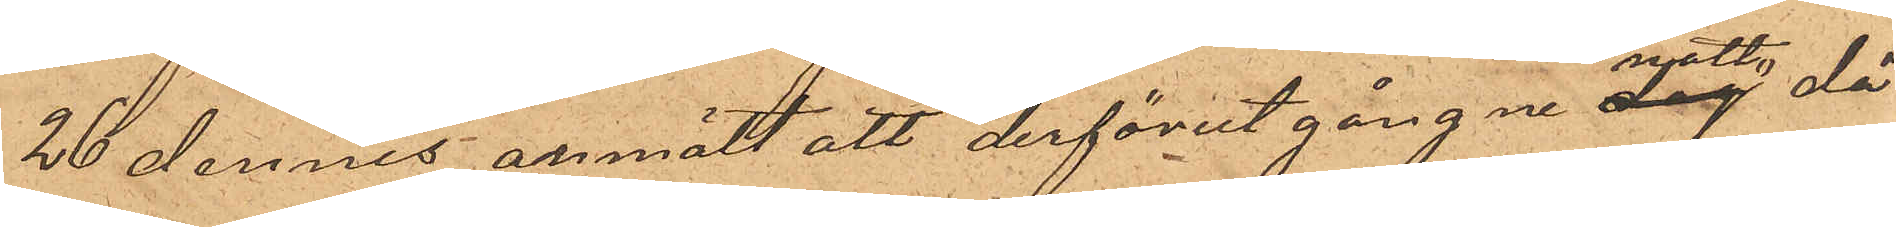26 dennes anmält att derförut gångne dag natt då
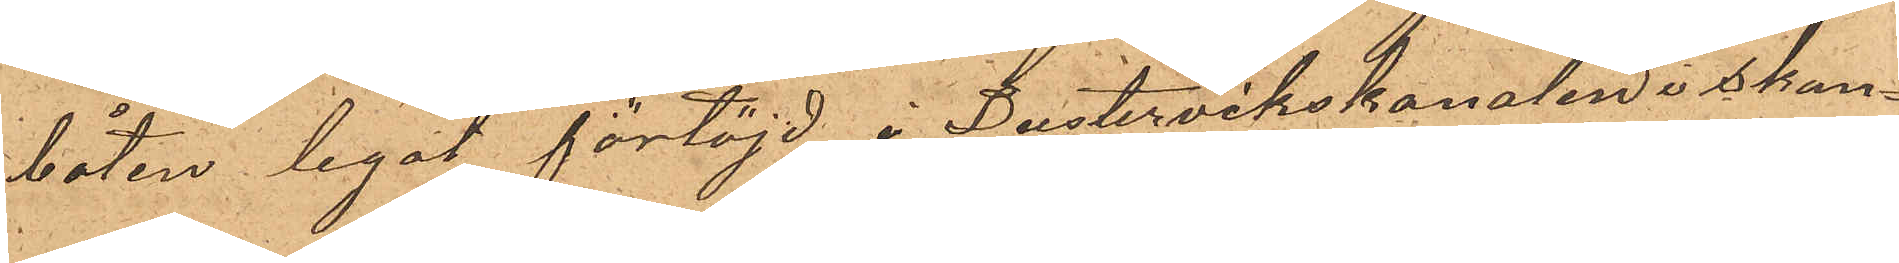båten legat förtöjd i Pustervikskanalen i skan¬
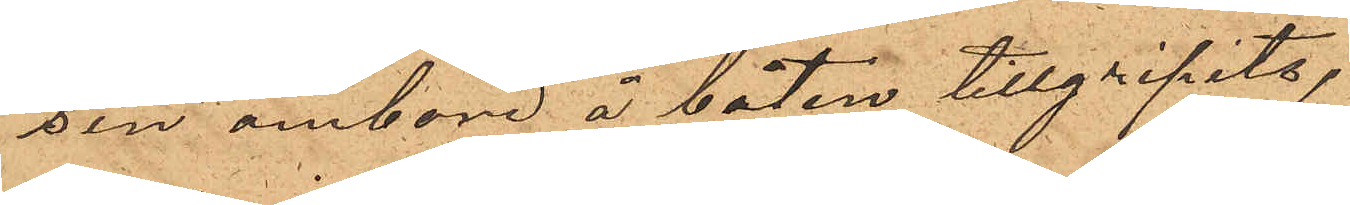sen ombord å båten tillgripits,
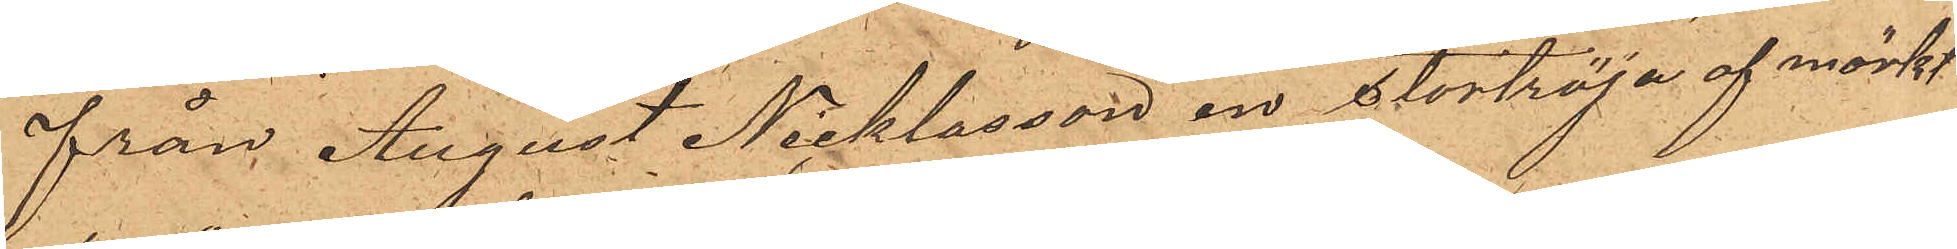från August Nicklasson en stortröja af mörkt
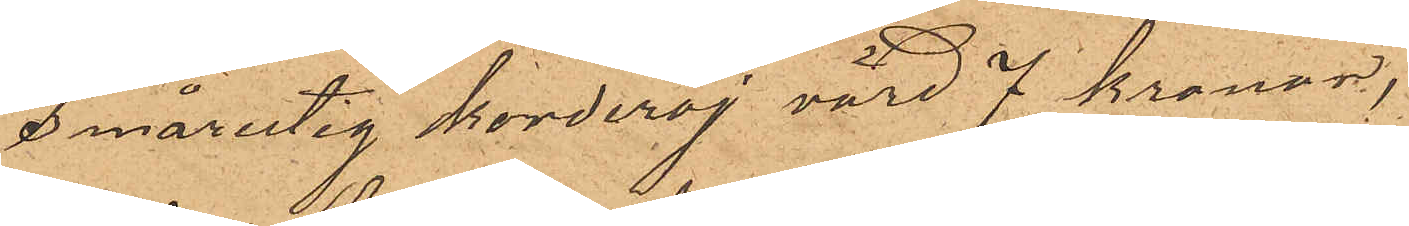smårutig korderoj, värd 7 kronor,
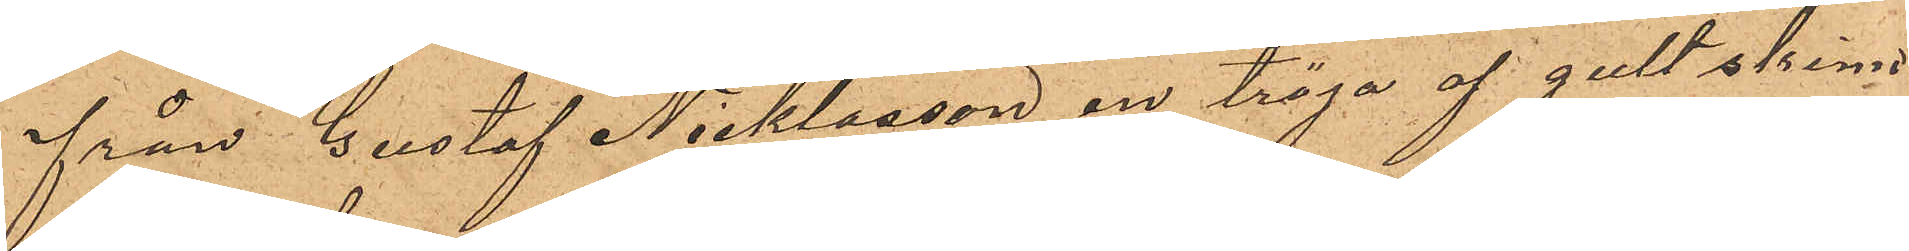från Gustaf Nicklasson en tröja af gult skin
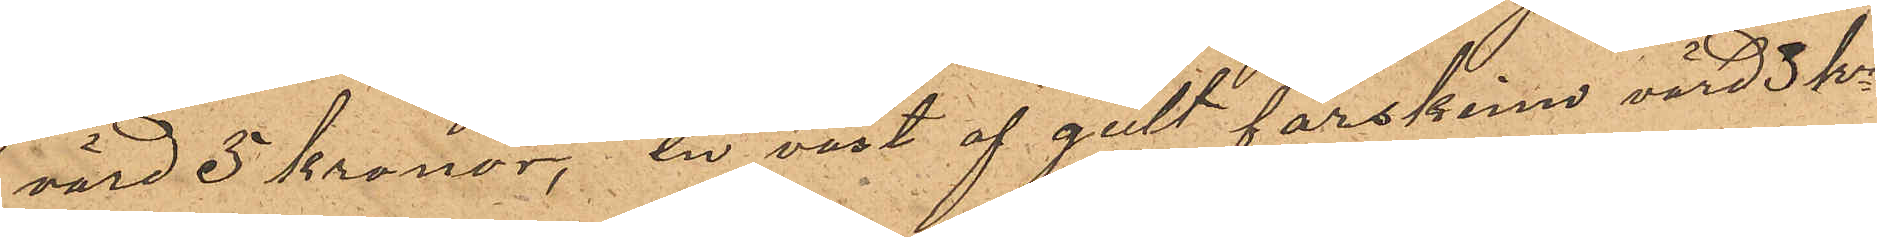värd 5 kronor, en väst af gult fårskinn, värd 3 kr
